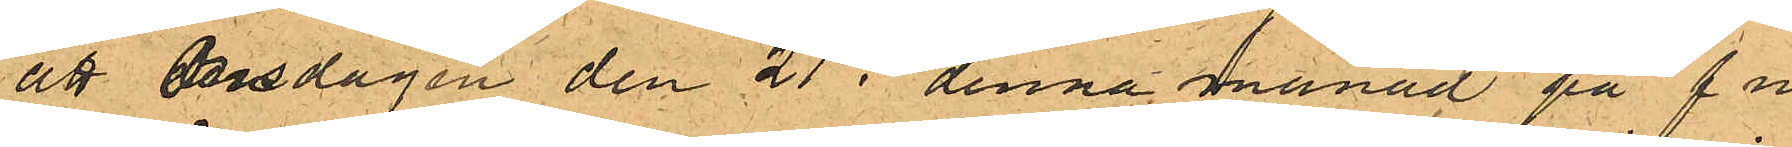att Onsdagen den 21 i denna månad på f m.
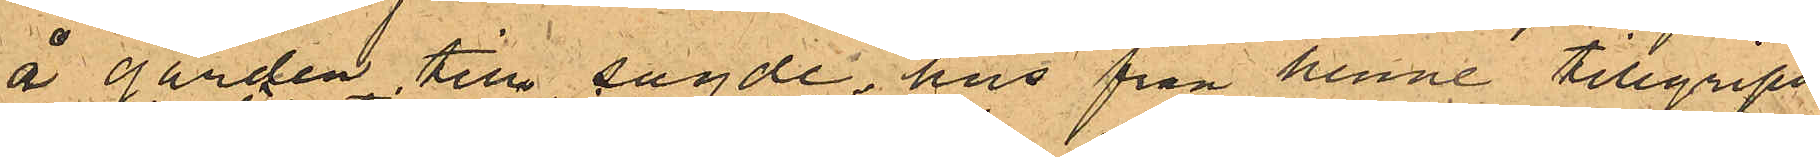å gården till sagde hus från henne tillgripits
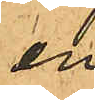en
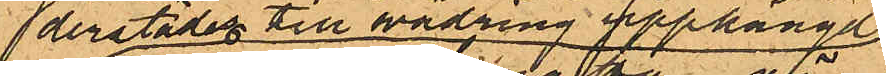derstädes till vädring upphängd
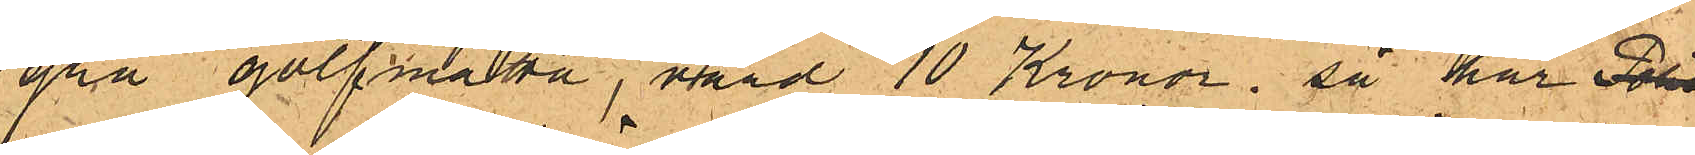grå golfmatta, värd 10 Kronor; så har Poli
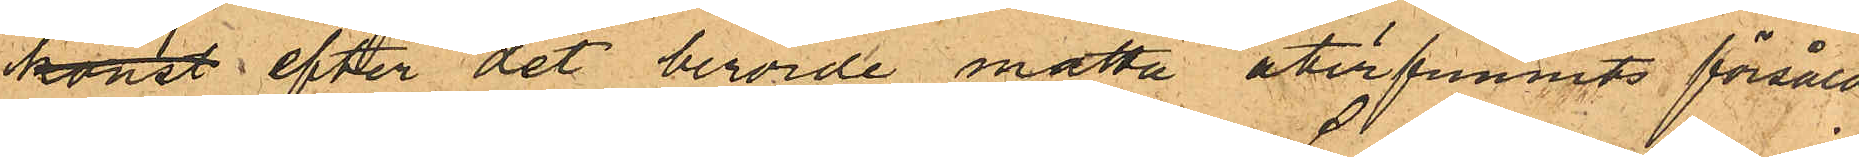konst efter det berörde matta återfunnits försåld
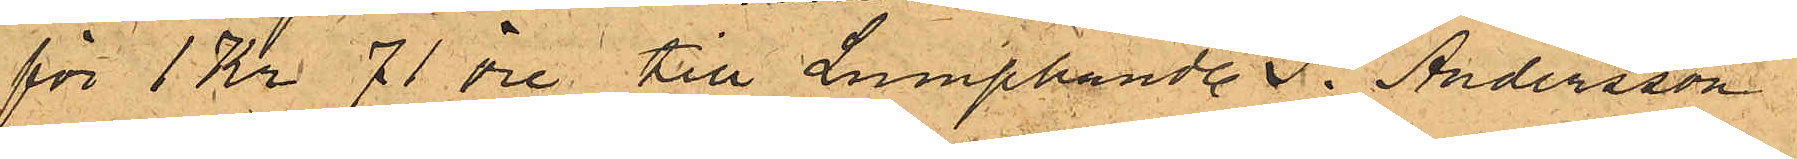för 1 Kr. 71 öre till Lumphandl. S. Andersson i
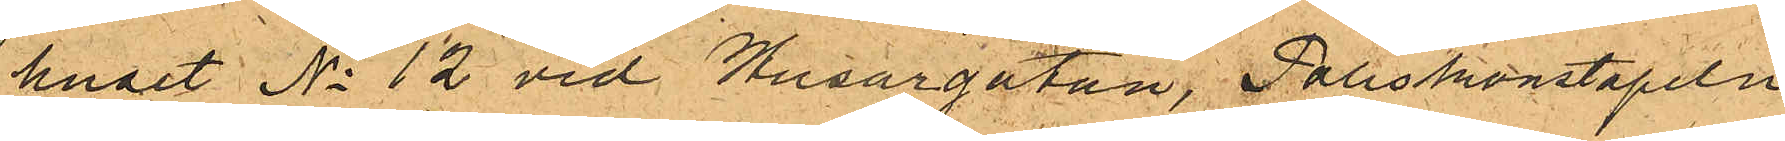huset No 12 vid Husargatan, Poliskonstapeln
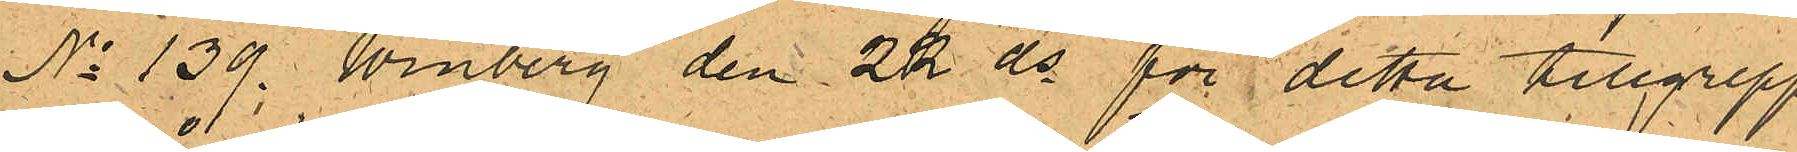No 139. Winberg den 22 ds för detta tillgrepp
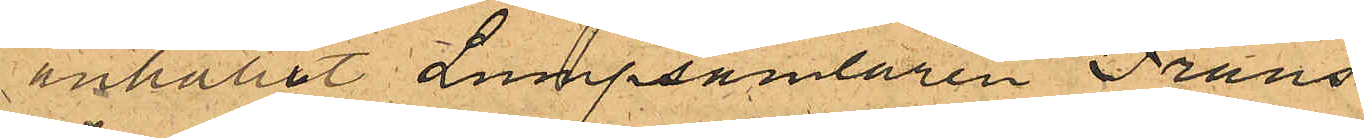anhållit Lumpsamlaren Frans
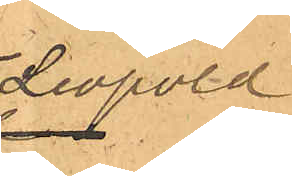Leopold,
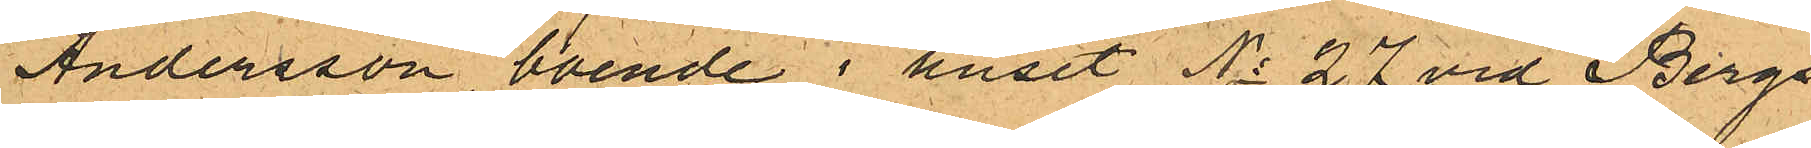Andersson boende i huset No 27 vid Bergs¬
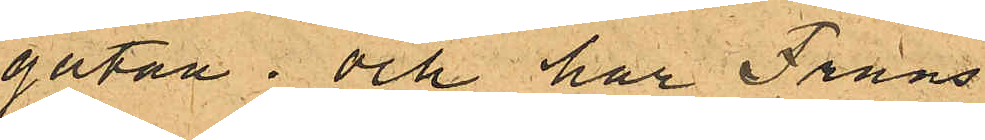gatan; och har Frans
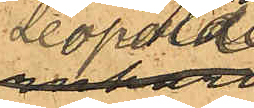Leopold
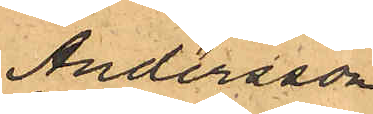Andersson
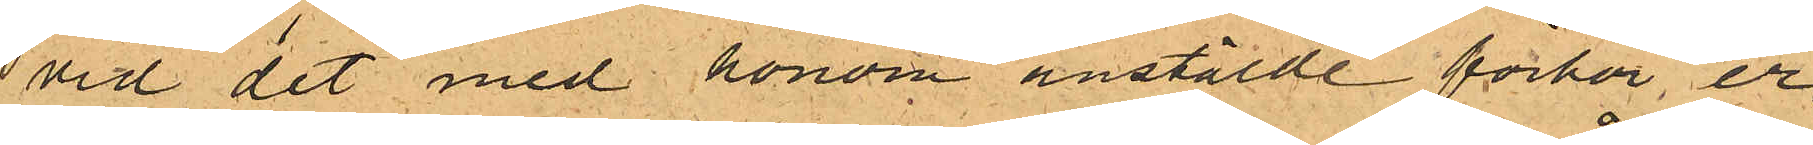vid det med honom anstälde förhör, er¬
